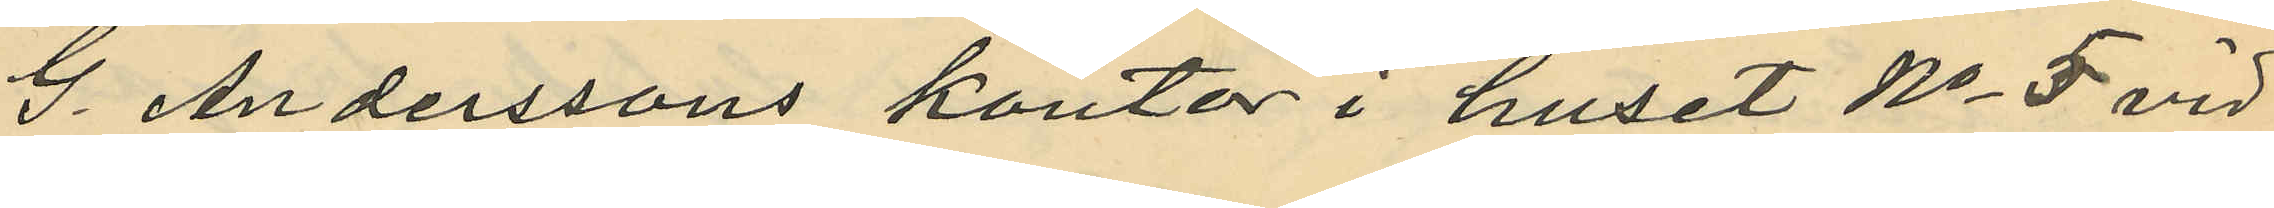G. Anderssons kontor i huset No 5 vid
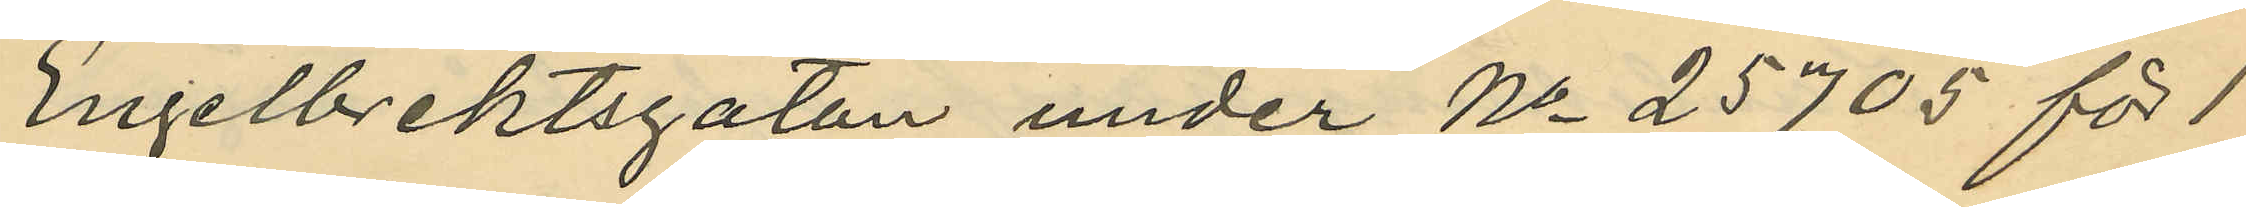Engelbrektsgatan under No 25705 för 1
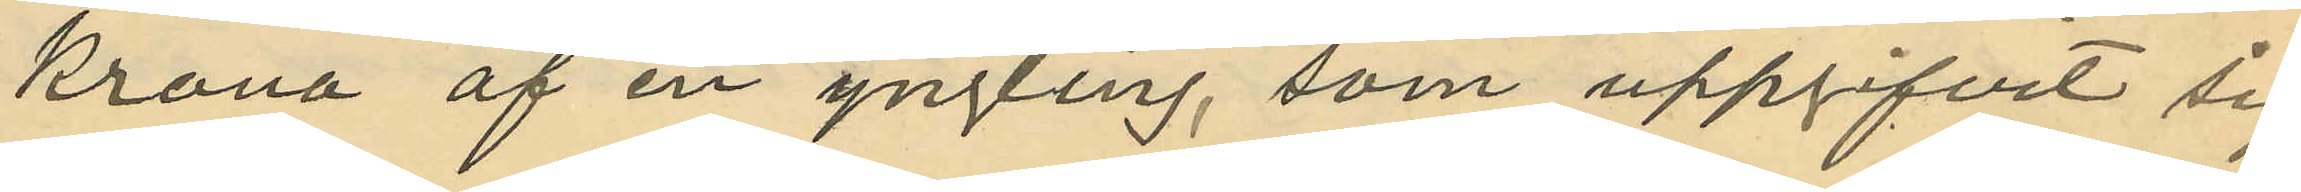krona af en yngling, som uppgifvit sig
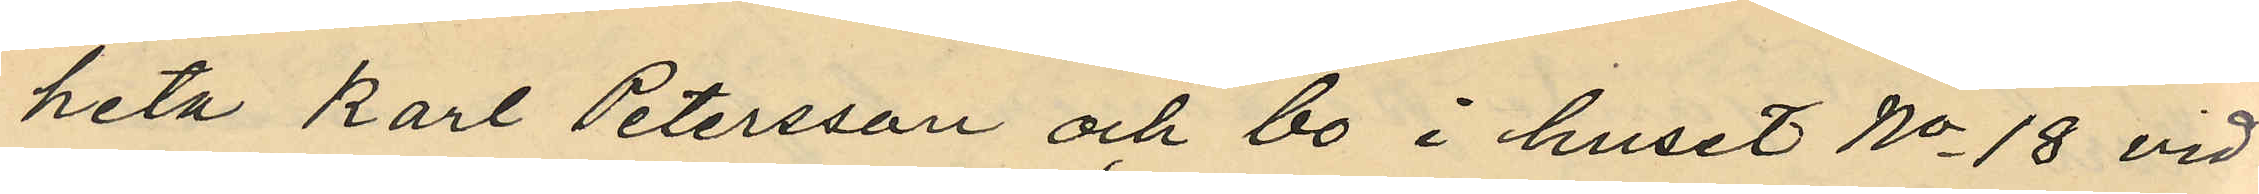heta Karl Petersson och bo i huset No 18 vid
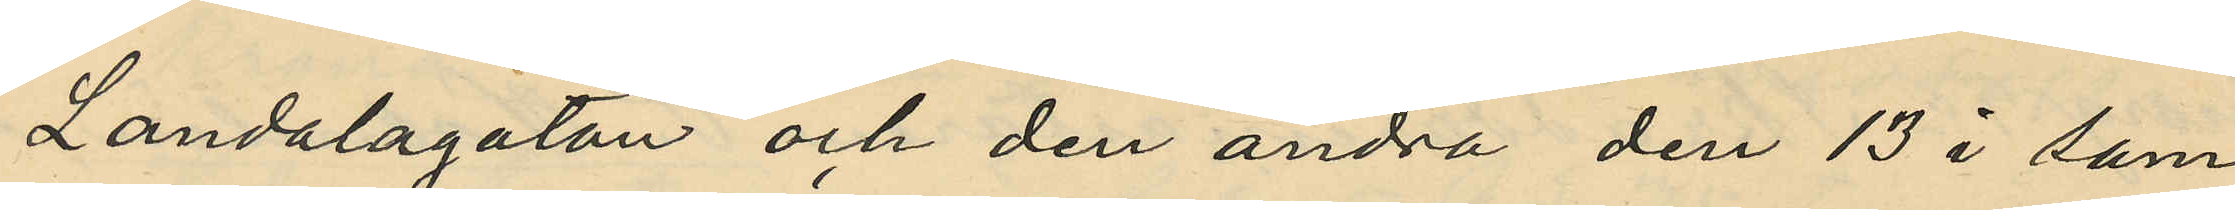Landalagatan och den andra den 13 i sam¬
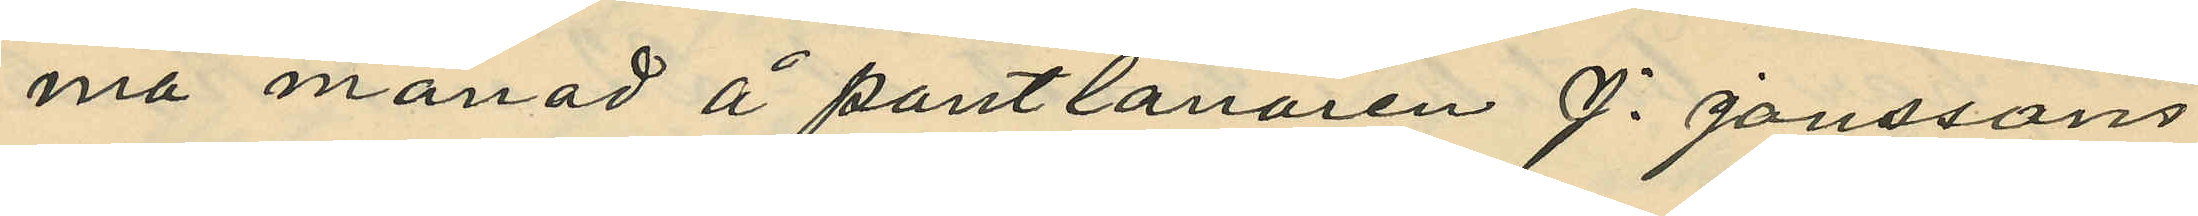ma månad å pantlånaren J. Janssons
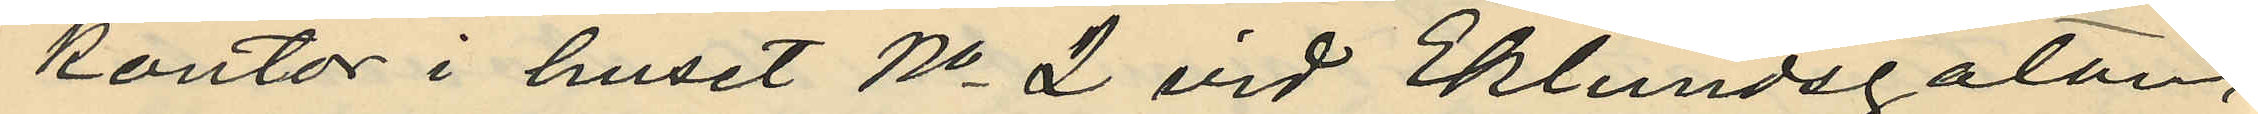kontor i huset No 2 vid Eklundsgatan,
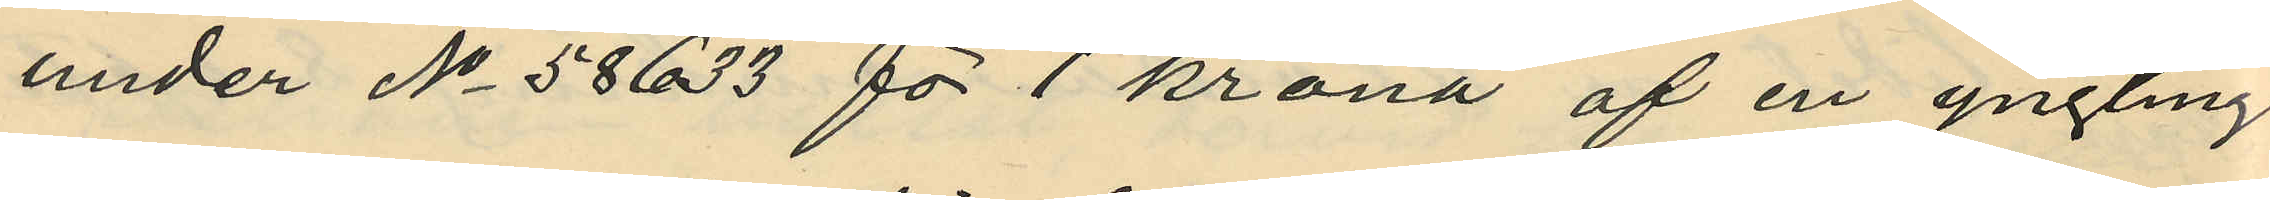under No 58633 för 1 krona af en yngling
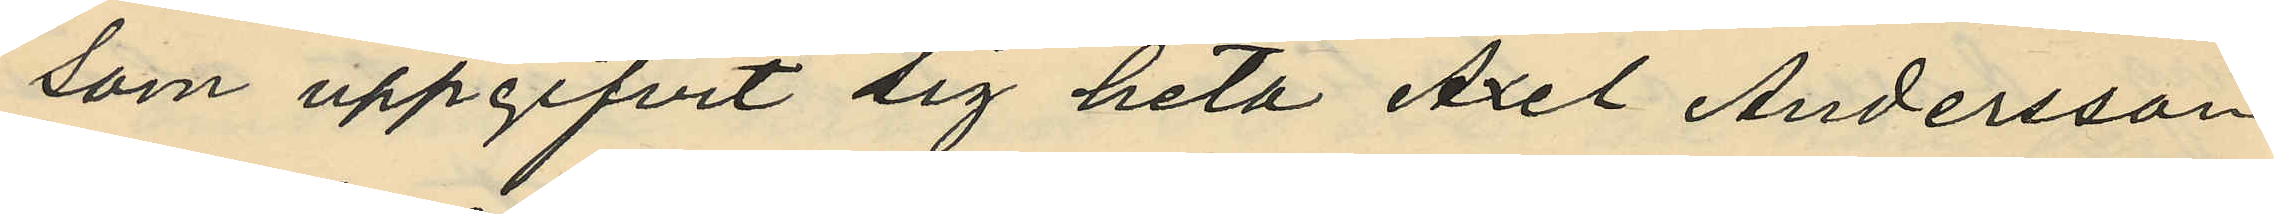som uppgifvit sig heta Axel Andersson
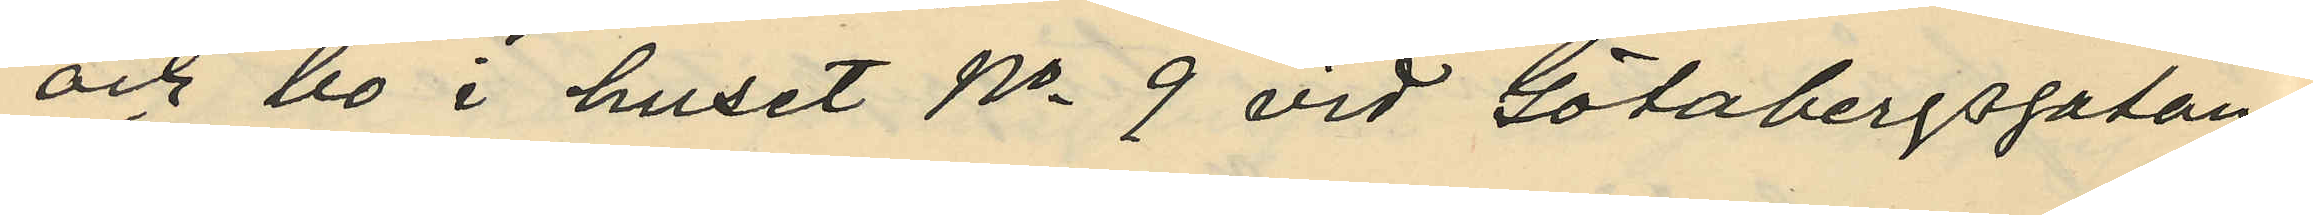och bo i huset No 9 vid Götabergsgatan.
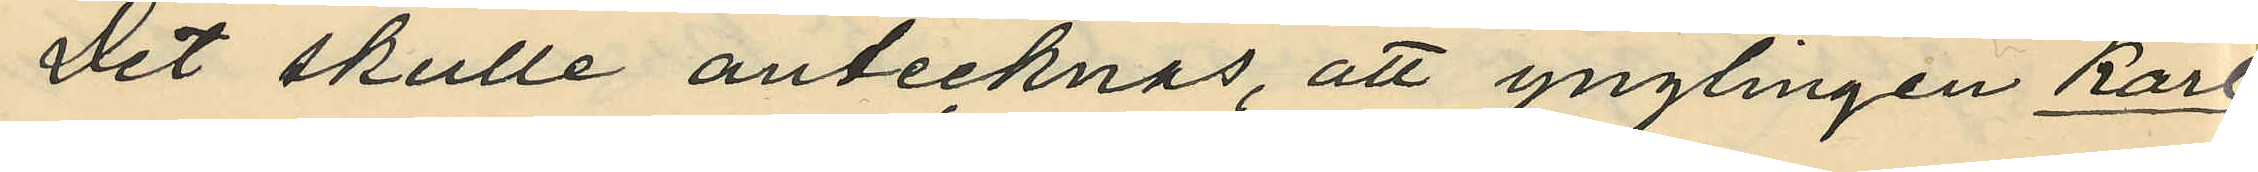Det skulle antecknas, att ynglingen Karl
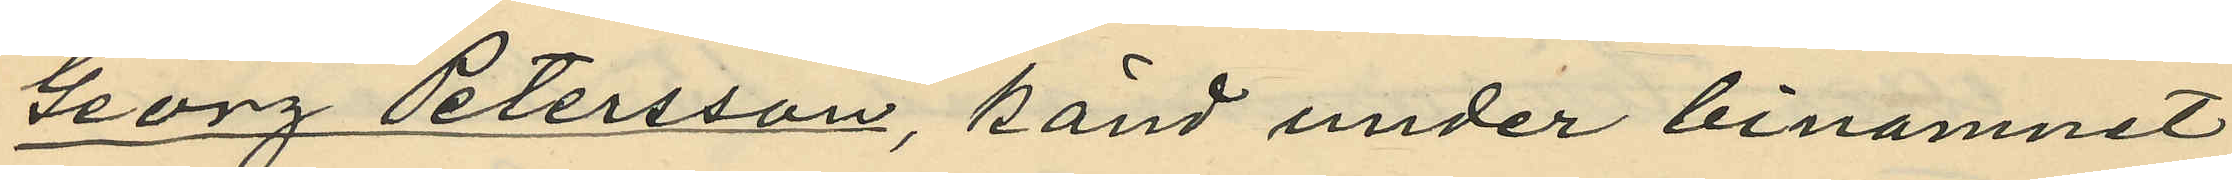Georg Petersson, känd under binamnet
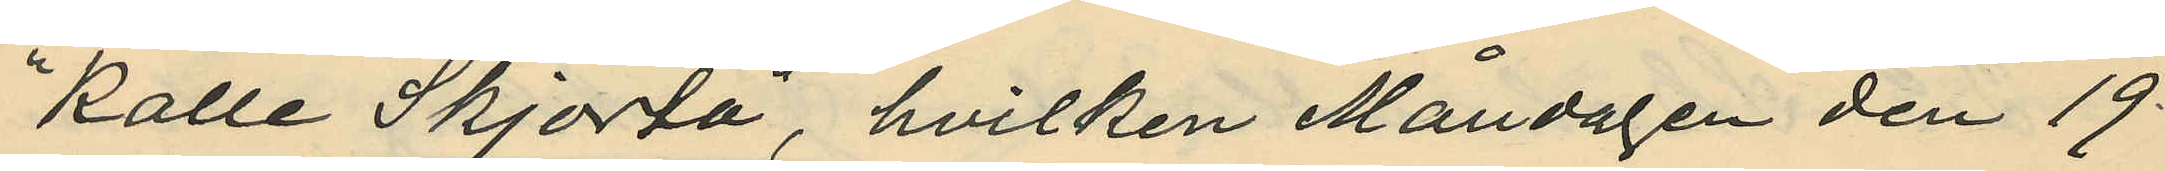"Kalle Skjorta", hvilken Måndagen den 19
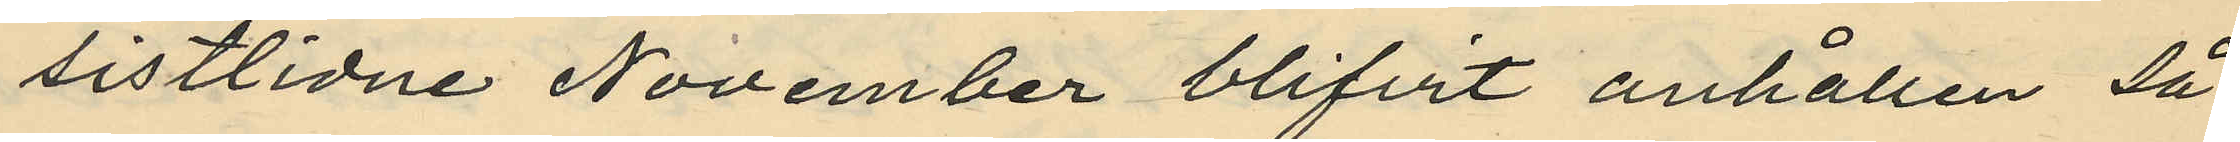sistlidne November blifvit anhållen så¬
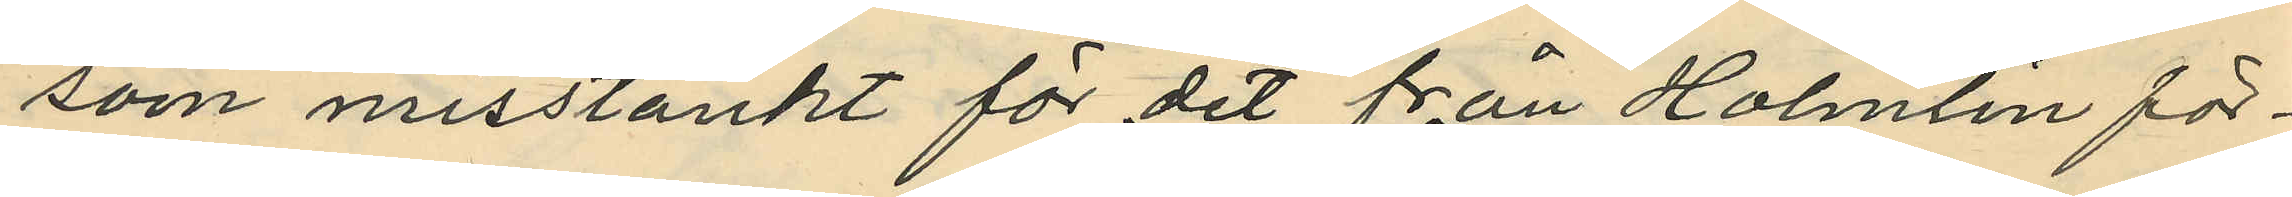som misstänkt för det från Holmlin för¬
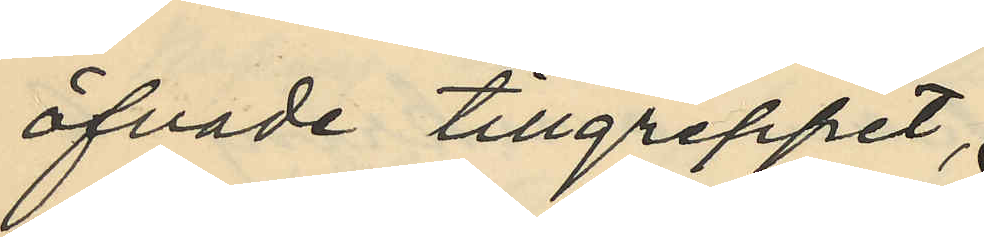öfvade tillgreppet,
